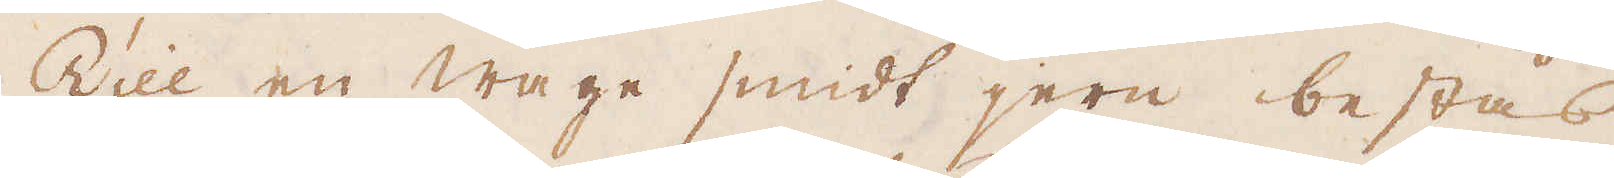Till en wage smidt jern bestås
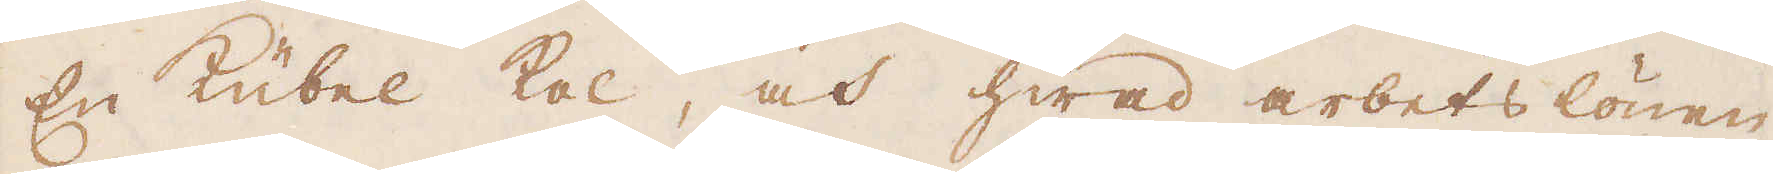En Kübel kol, och hwad arbetslönen
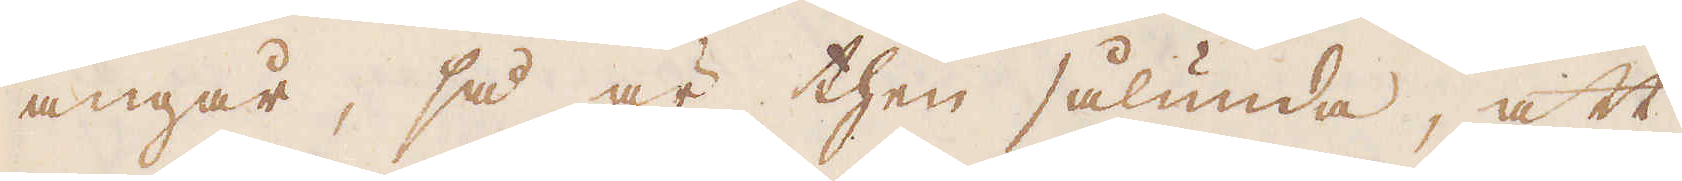angår, så är then sålunda, att
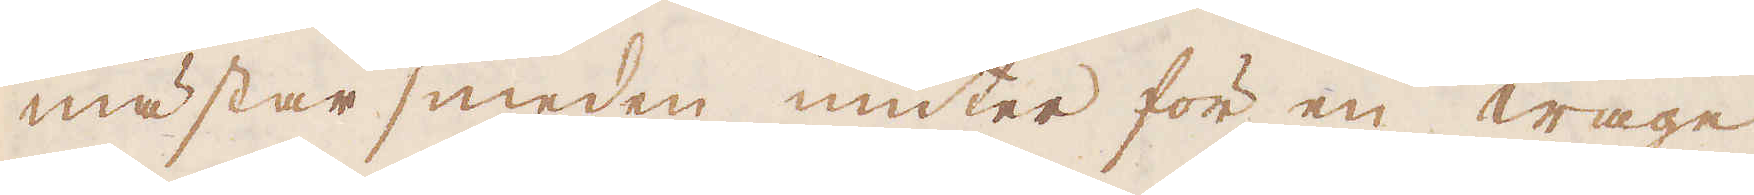mästar smeden niuter för en wage
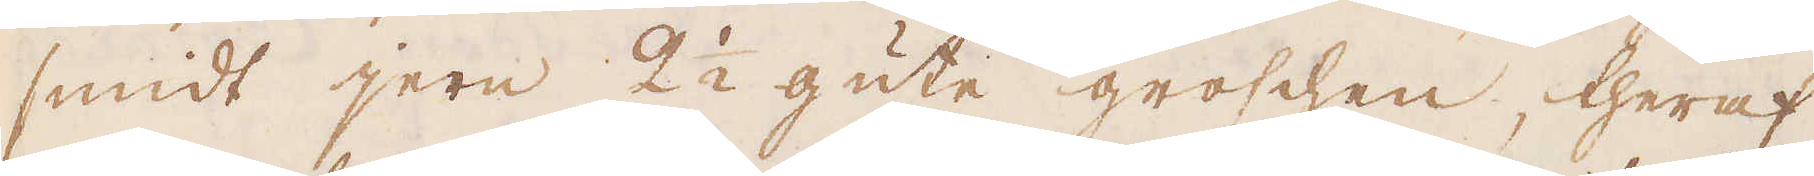smidt jern 2 1/2 gute groschen, theraf
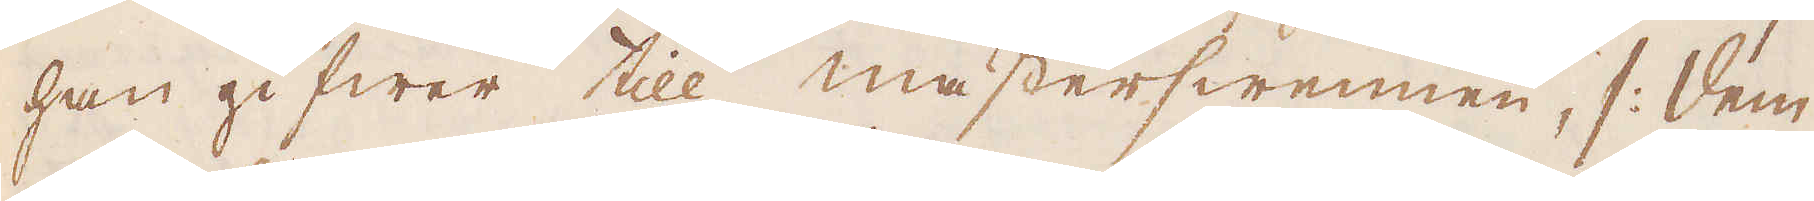han gifwer till mästerswennen, /: dem
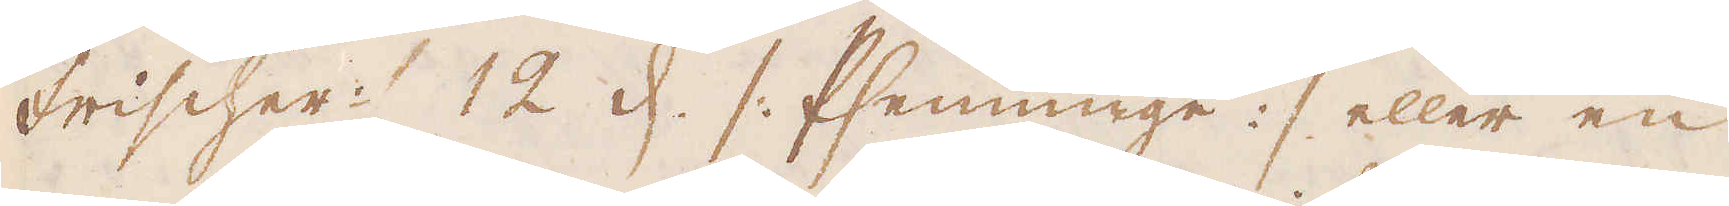Frischer :/ 12 d. /: Pfenninge :/ eller en
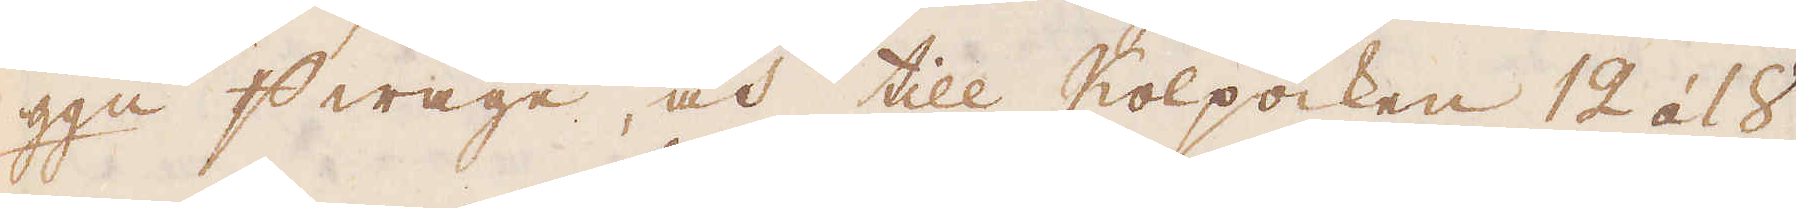gg:n p wage, och till Kolpocken 12 á 18
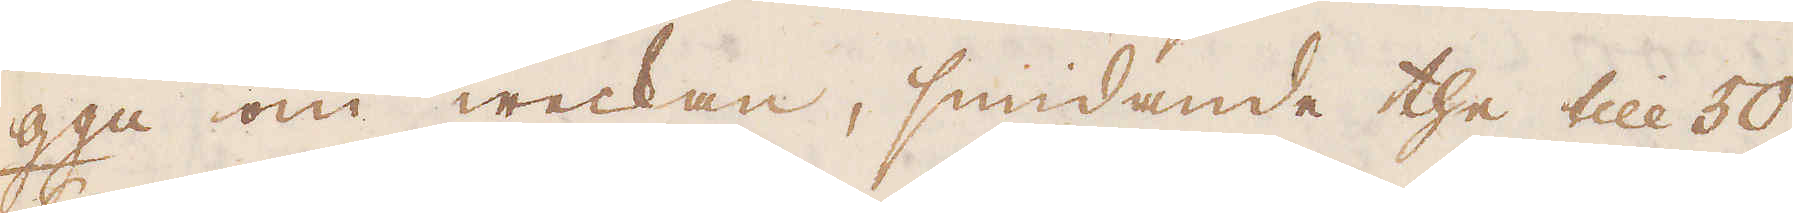gg:n om weckan, smidande the till 50,
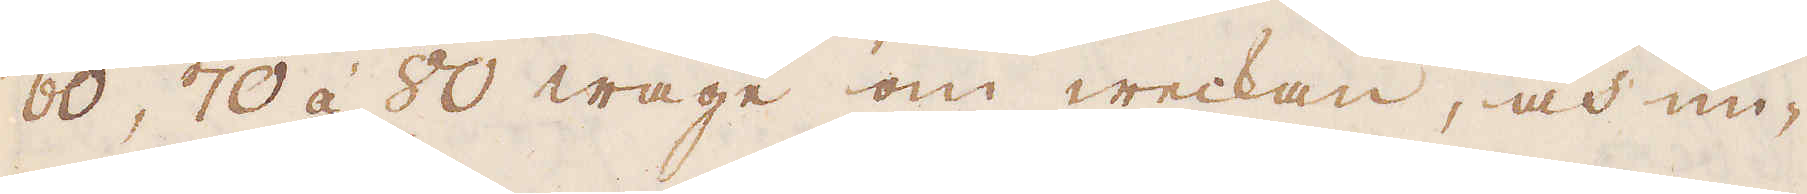60, 70 á 80 wage om weckan, och un-
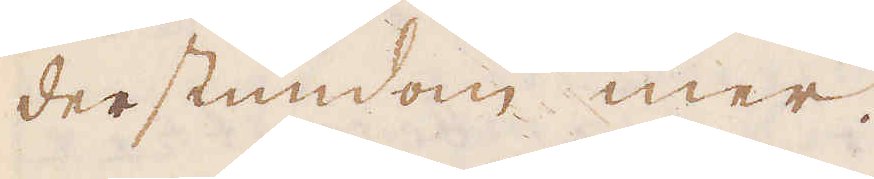derstundom mer.
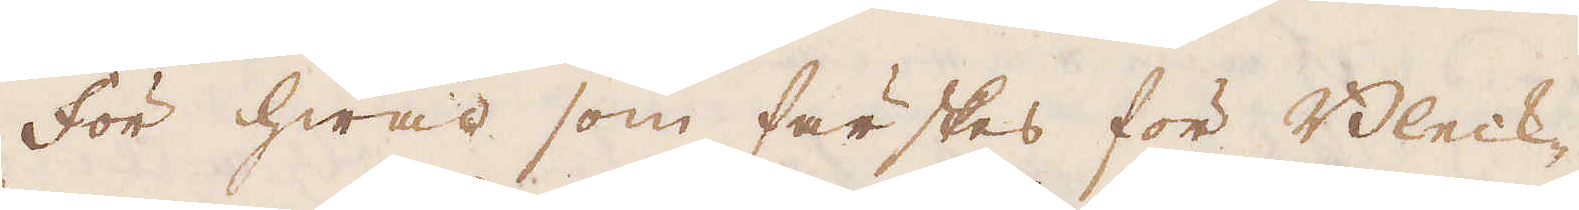För hwad som färskas för Bleck-
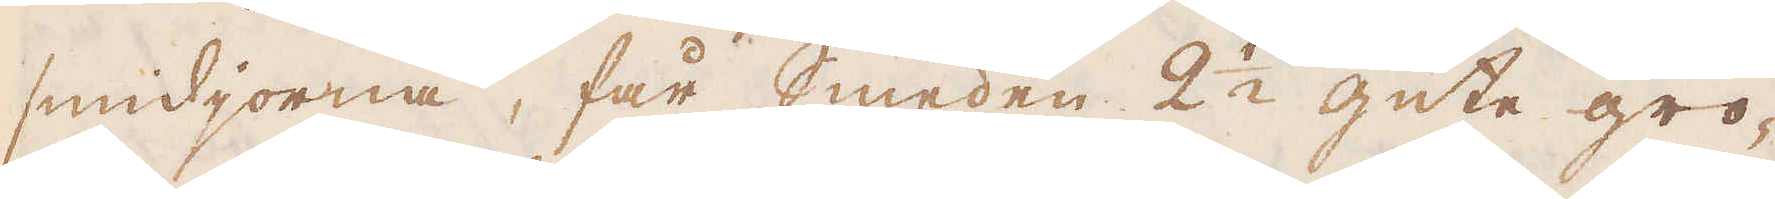smidjorna, får smeden 2 1/2 gute gro-
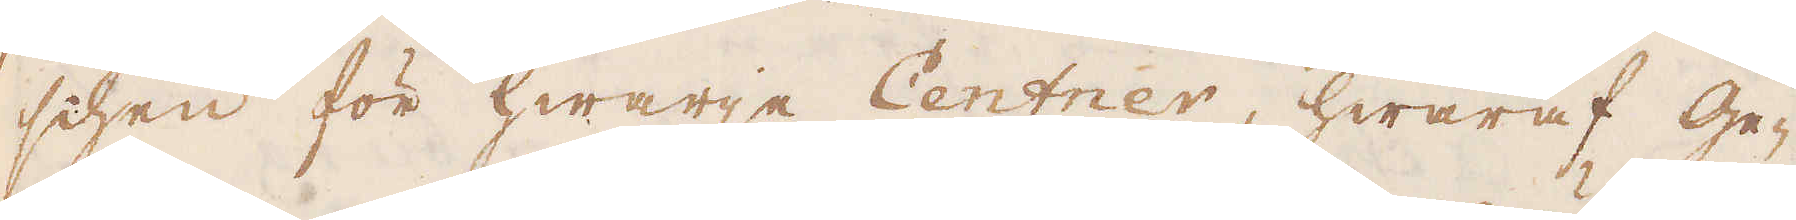schen för hwarje Centner, hwaraf Ge-
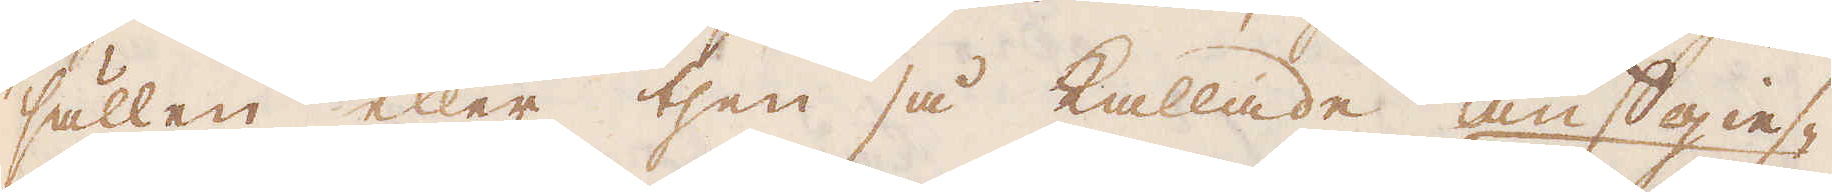sällen eller then så kallade auffgies-
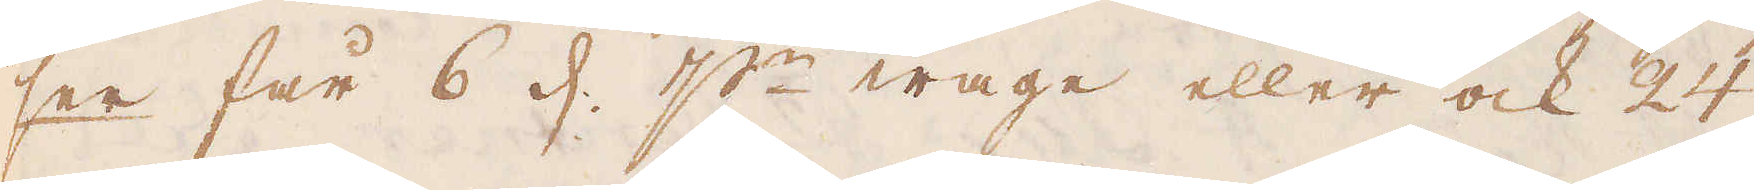ser får 6 d. p:r wage eller ock 24
